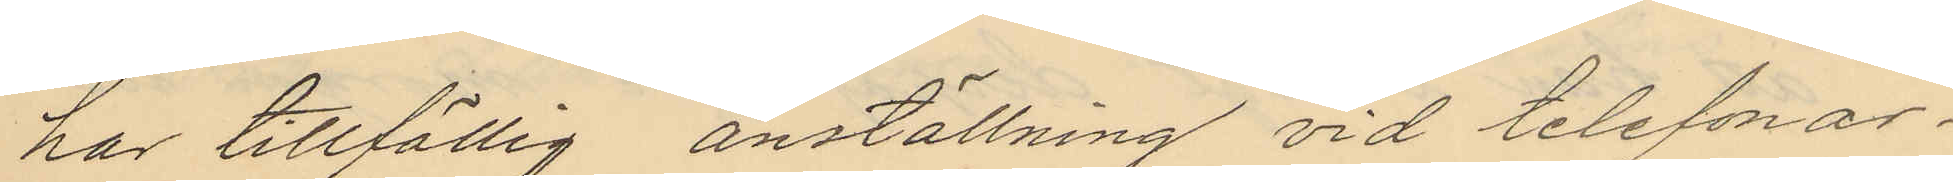har tillfällig anställning vid telefonar¬
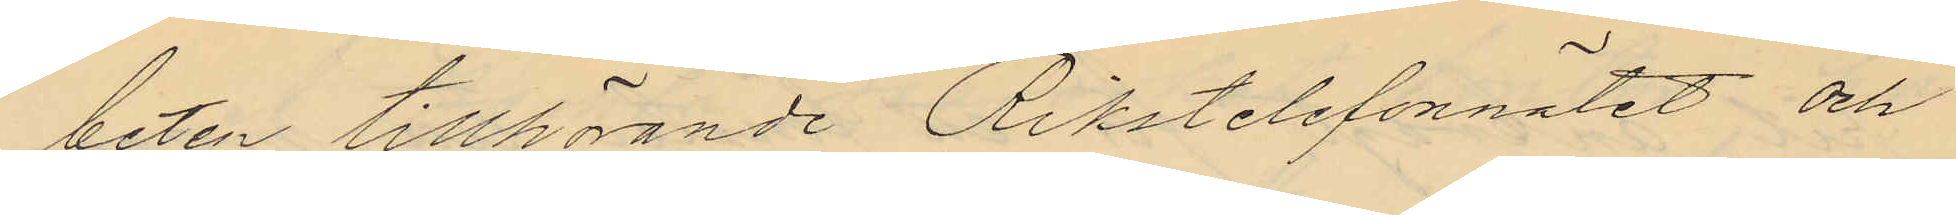beten tillhörande Rikstelefonnätet och
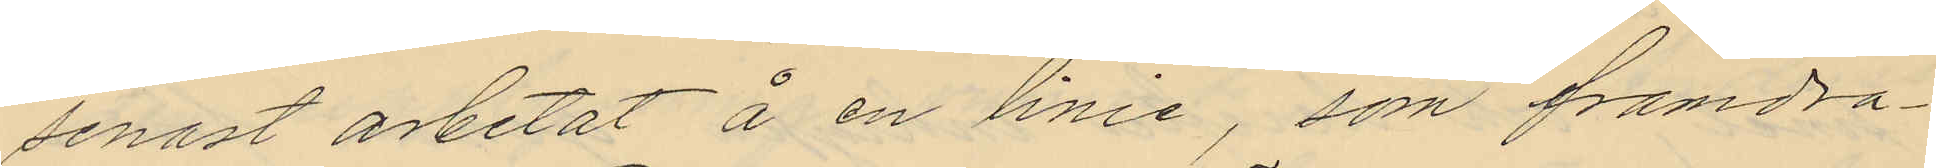senast arbetat å en linie, som framdra¬
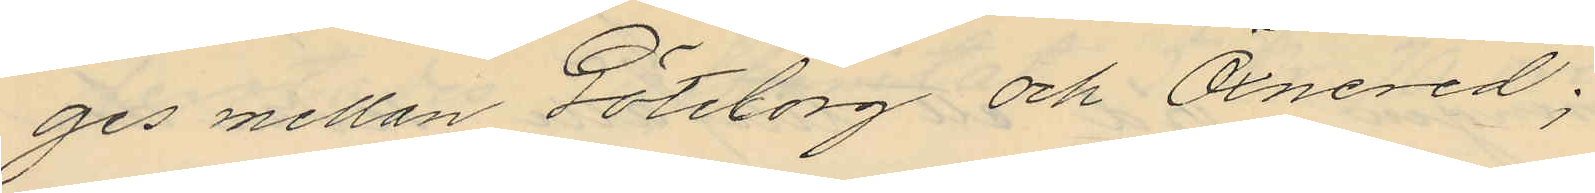ges mellan Göteborg och Öxnered;
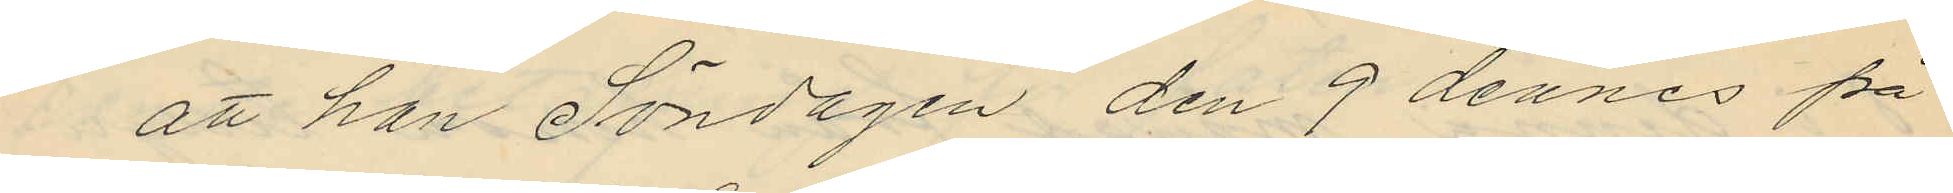att han Söndagen den 9 dennes på
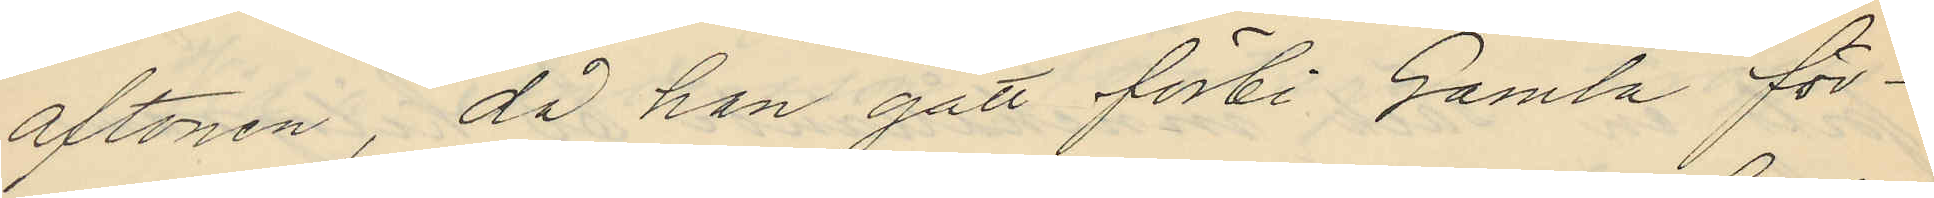aftonen, då han gått förbi Gamla för¬
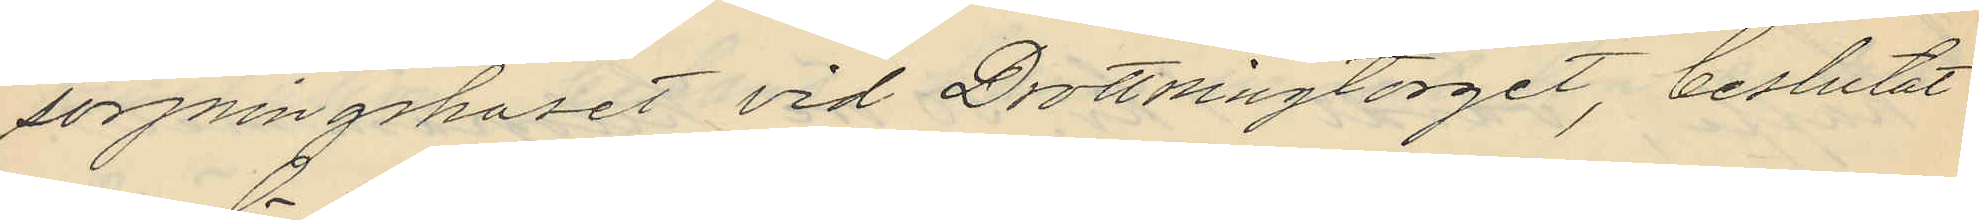sörjningshuset vid Drottningtorget, beslutat
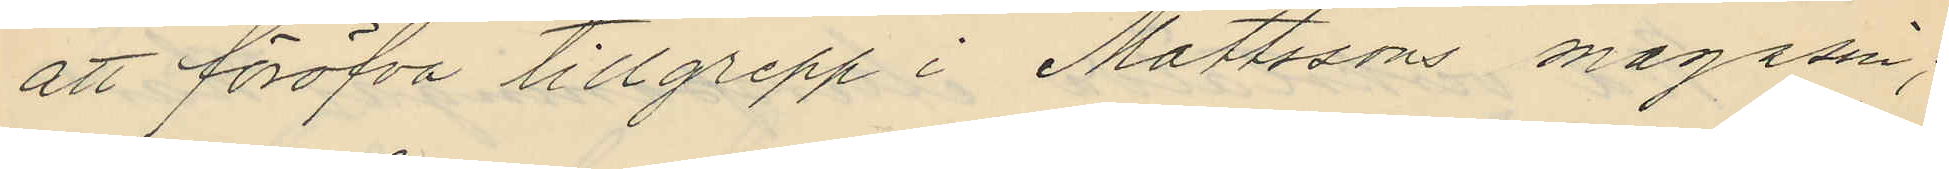att föröfva tillgrepp i Mattssons magasin;
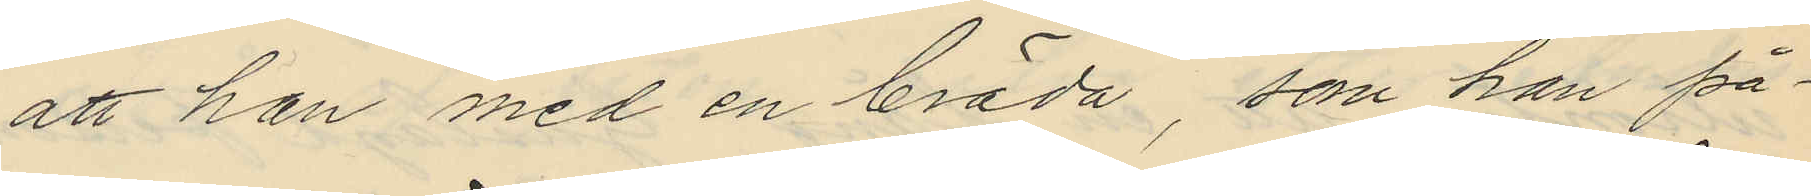att han med en bräda, som han på¬
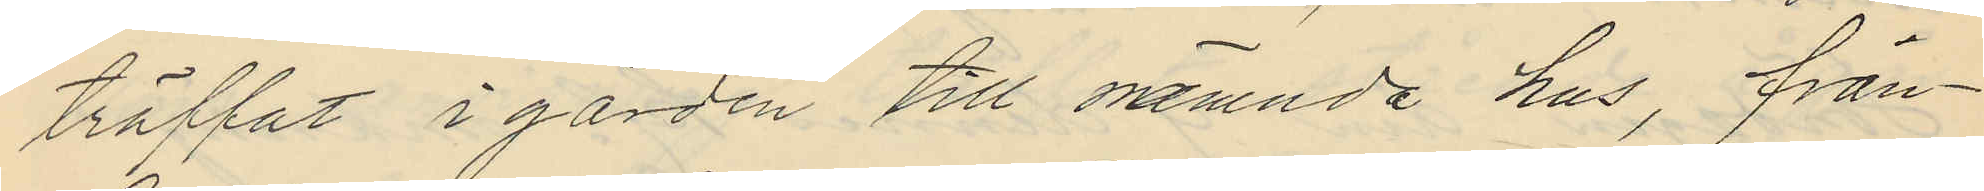träffat i gården till nämnda hus, från¬
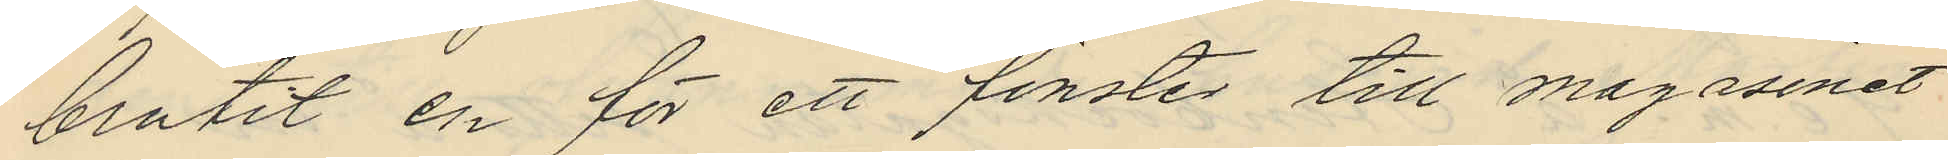brutit en för ett fönster till magasinet
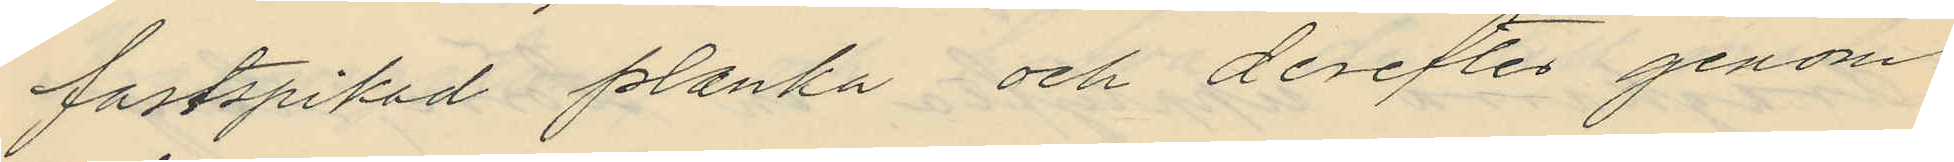fastspikad planka och derefter genom
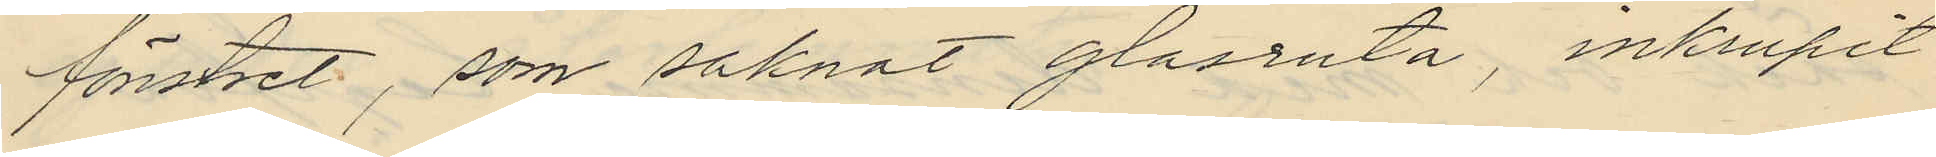fönstret, som saknat glasruta, inkrupit
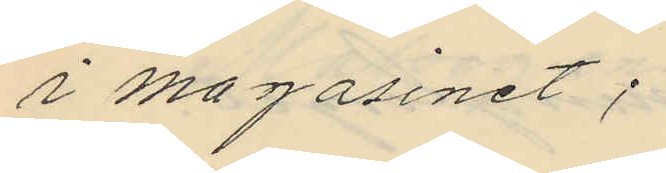i magasinet;
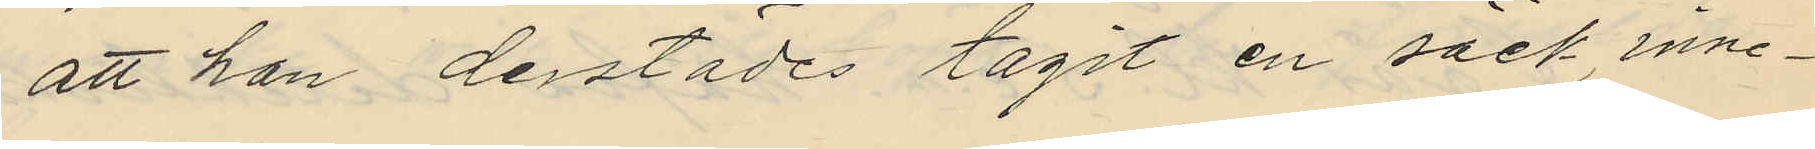att han derstädes tagit en säck, inne¬
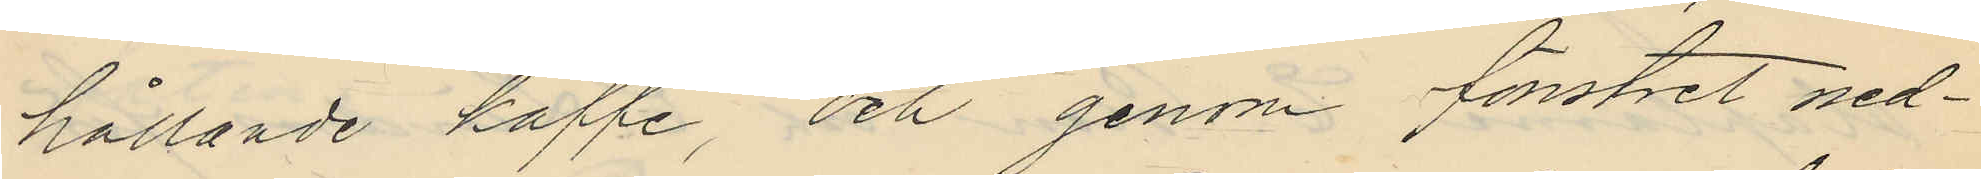hållande kaffe, och genom fönstret ned¬
